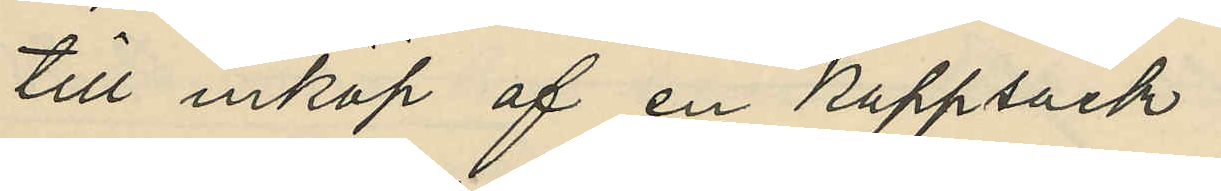till inköp af en kappsäck
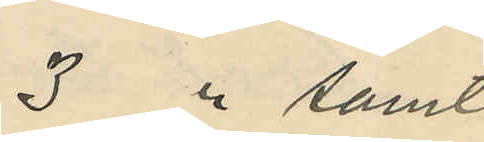3 " samt
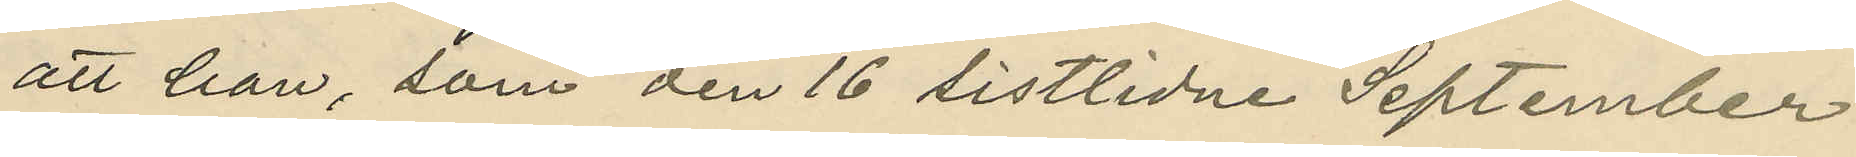att han, som den 16 sistlidne September
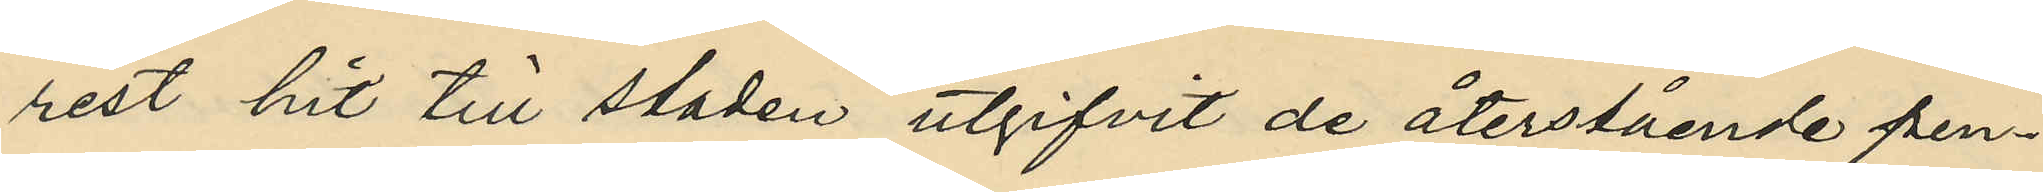rest hit till staden utgifvit de återstående pen¬
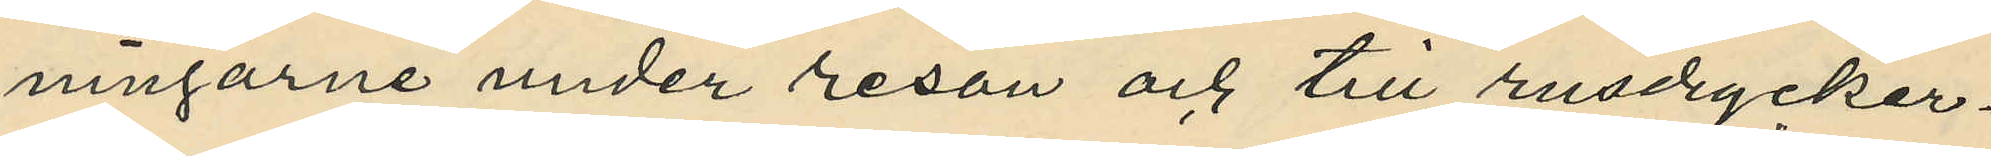ningarne under resan och till rusdrycker.
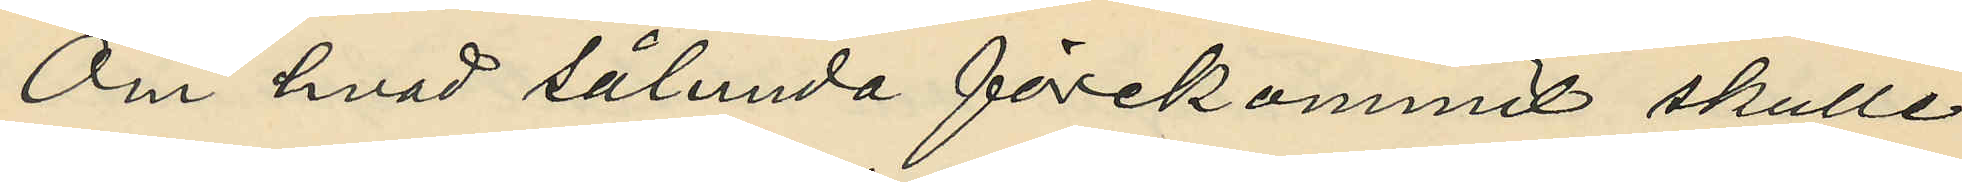Om hvad sålunda förekommit skulle
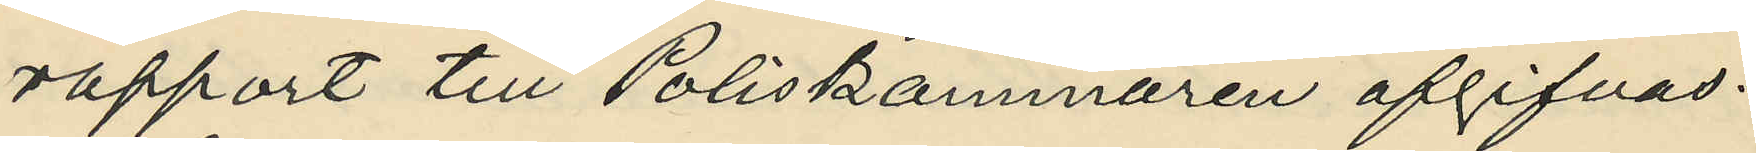rapport till Poliskammaren afgifvas.
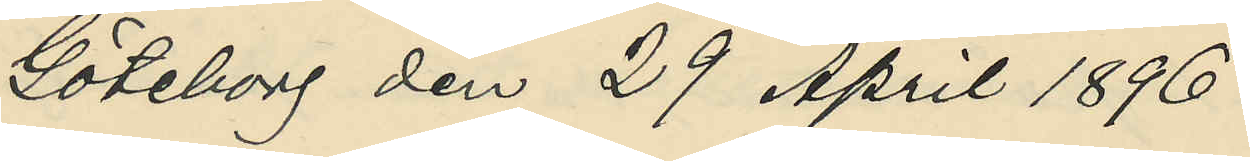Göteborg den 29 April 1896.
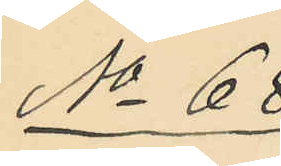No 68
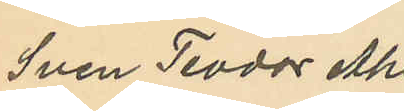Sven Teodor Ahl,
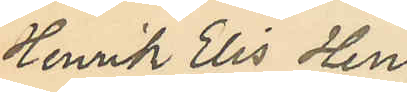Henrik Elis Hen¬
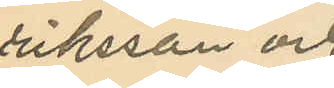riksson och
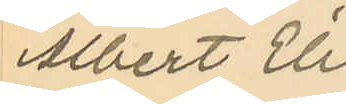Albert Elis
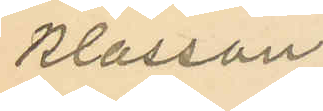Klasson.
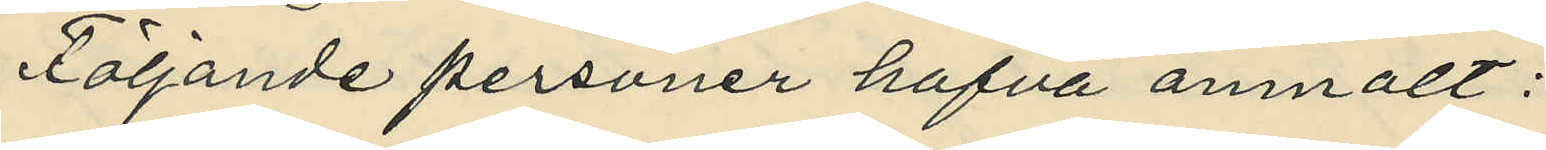Följande personer hafva anmält:
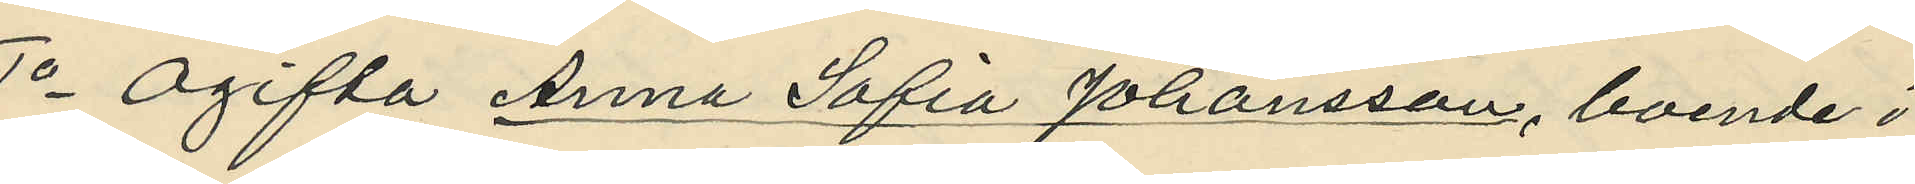1o Ogifta Anna Sofia Johansson, boende i
